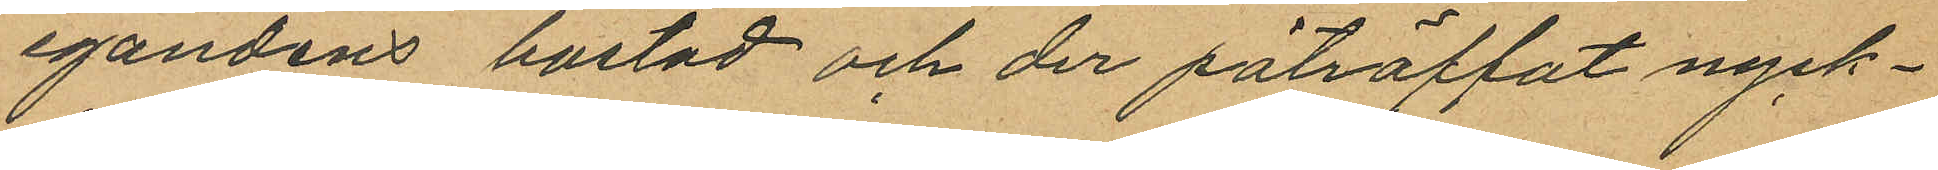egandens bostad och der påträffat nyck¬
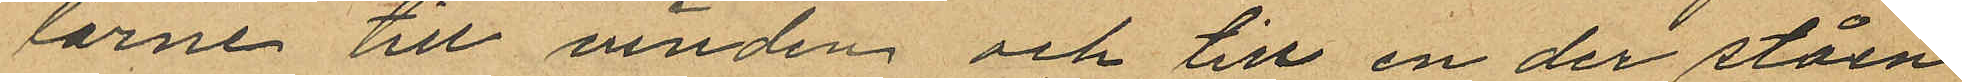larne till vinden och till en der ståen
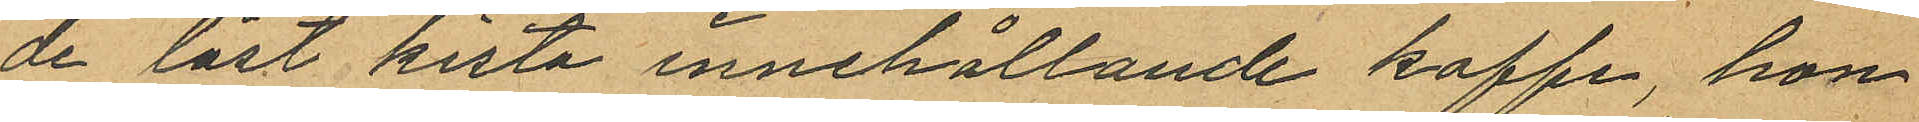de låst kista innehållande kaffe, hon
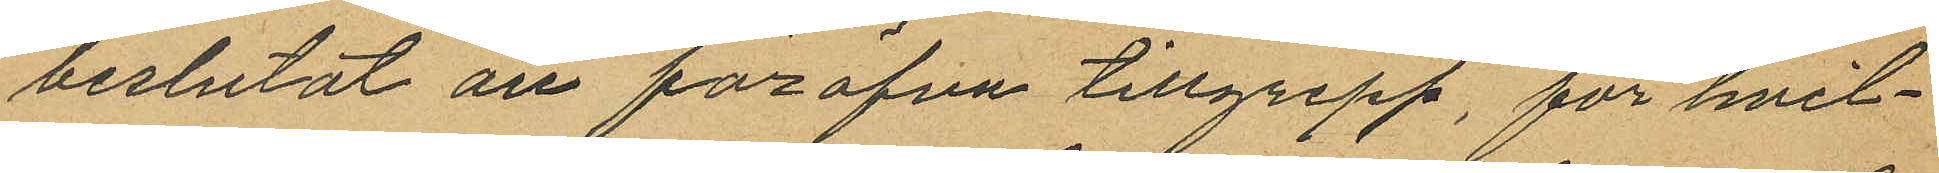beslutat att föröfva tillgrepp, för hvit¬
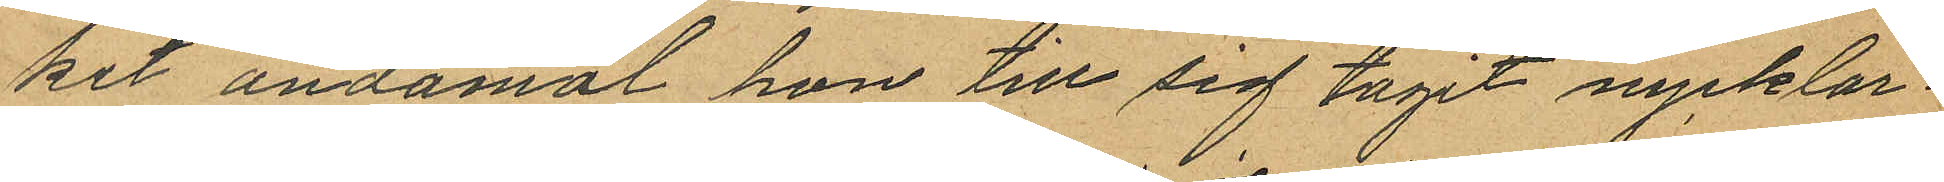ket ändamål hon till sig tagit nycklar¬
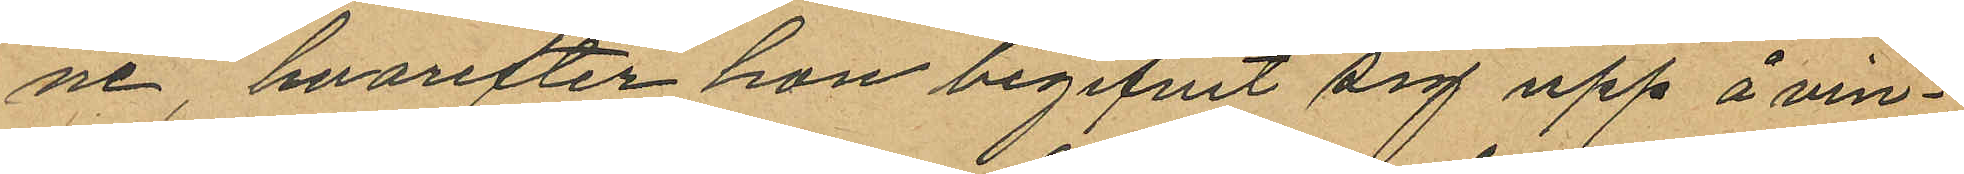ne, hvarefter hon begifvit sig upp å vin¬
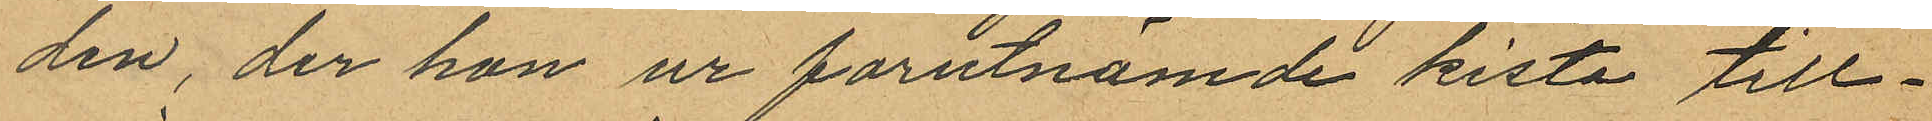den, der hon ur forutnämde kista till¬
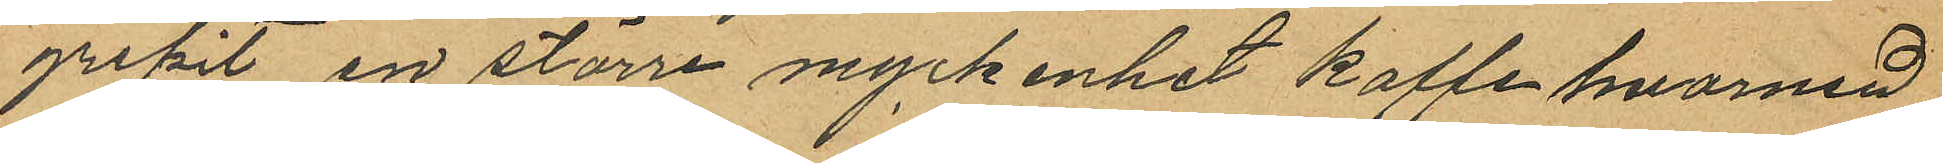gripit en större myckenhet kaffe hvarmed
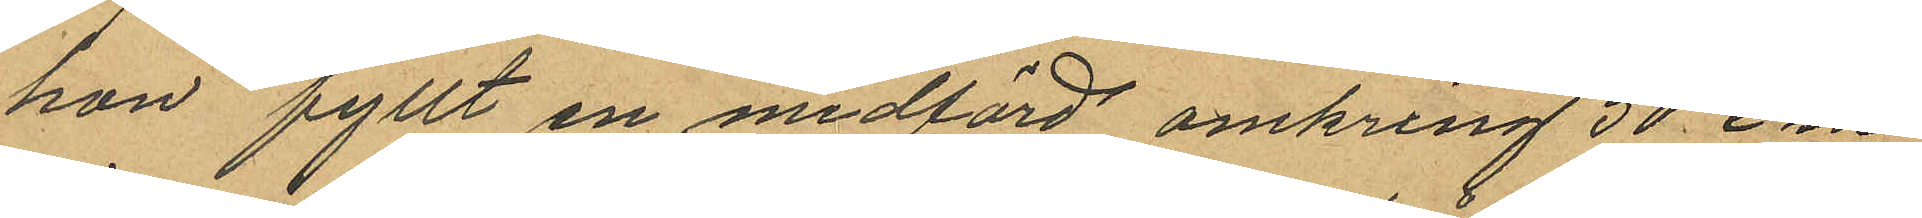hon fyllt en medförd omkring 50 cm
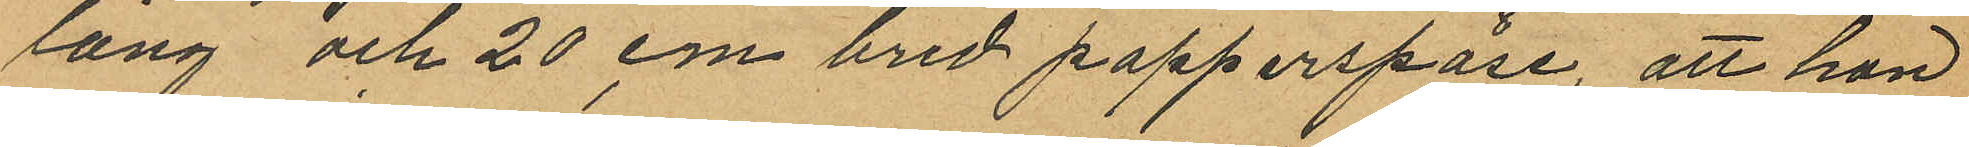lång och 20 cm bred papperspåse, att hon
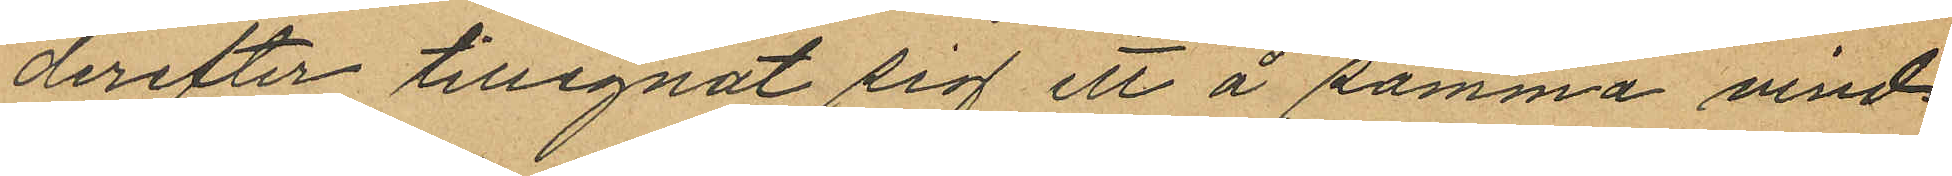derefter tillegnat sig ett å samma vind
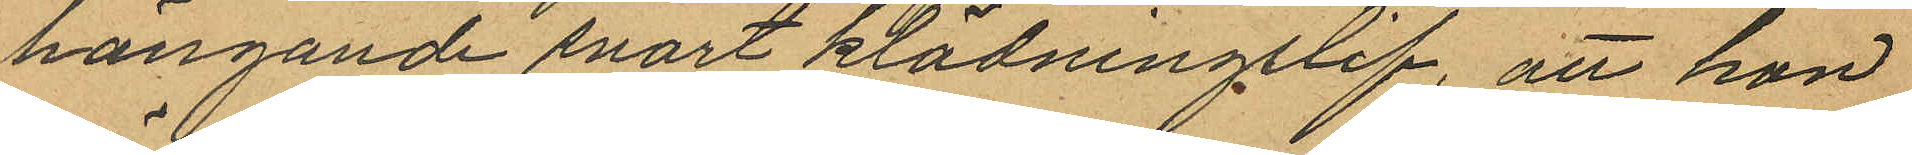hängande svart klädningslif, att hon
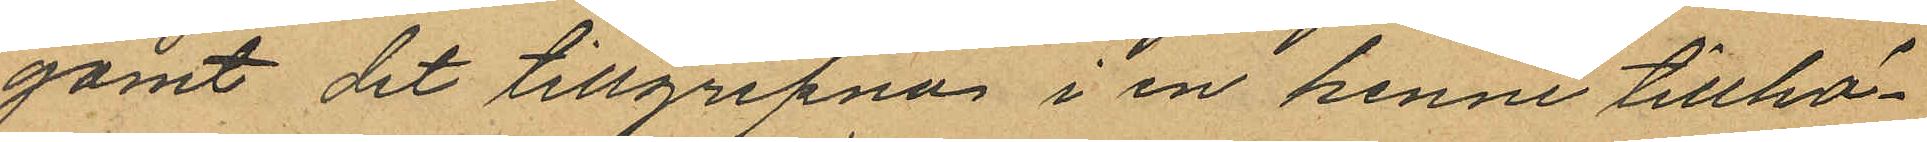gömt det tillgripna i en henne tillhö¬
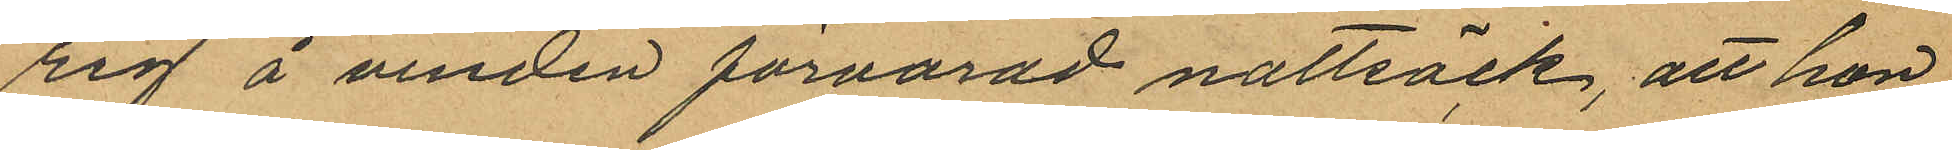rig å vinden förvarad nattsäck, att hon
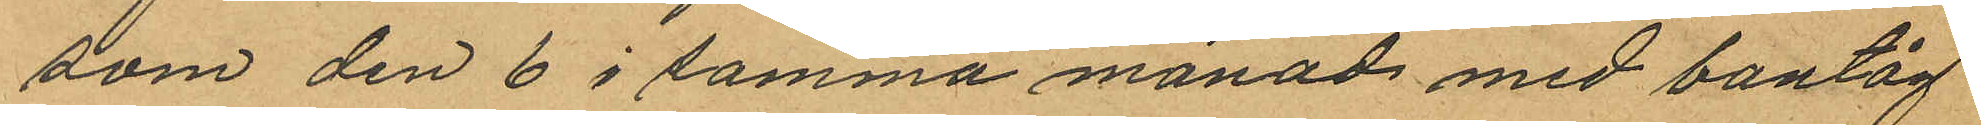som den 6 i samma månad med bantåg
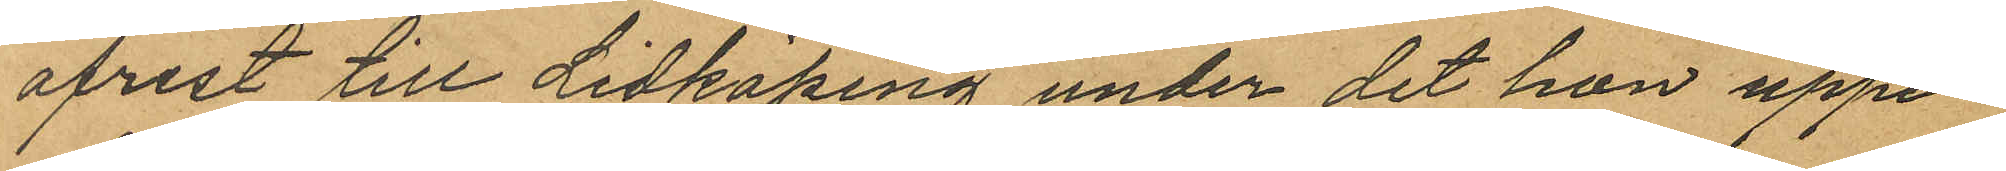afrest till Lidköping under det hon uppe¬
